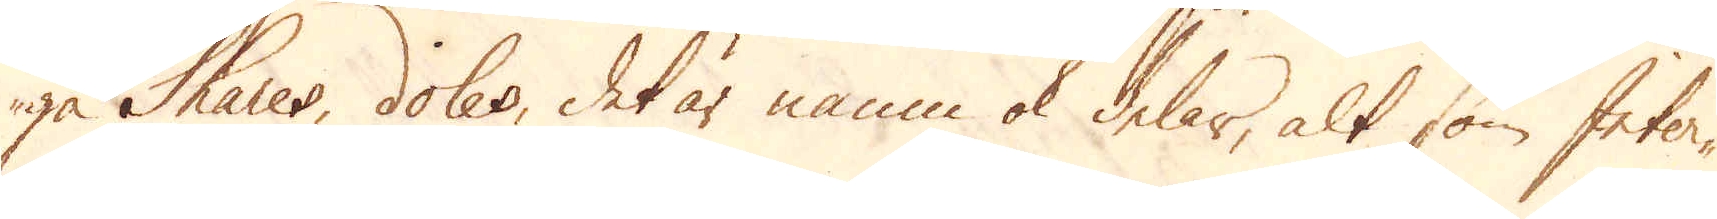ga Shares, doles, det är namn ok delar, alt som Inter-
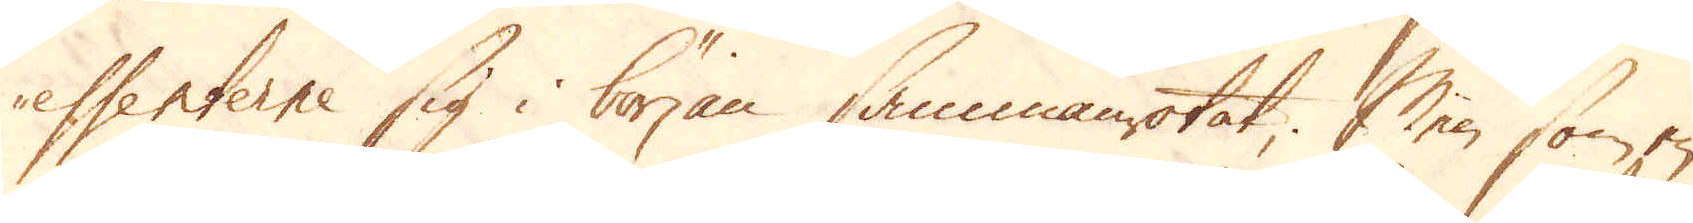essenterne sig i början sammanrotat; Men som en
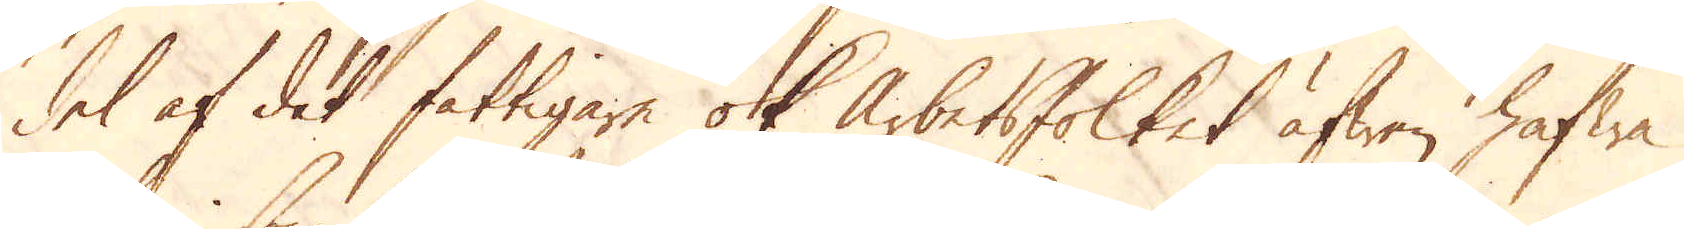del af det fattigare ok Arbetsfolket äfwen hafwa
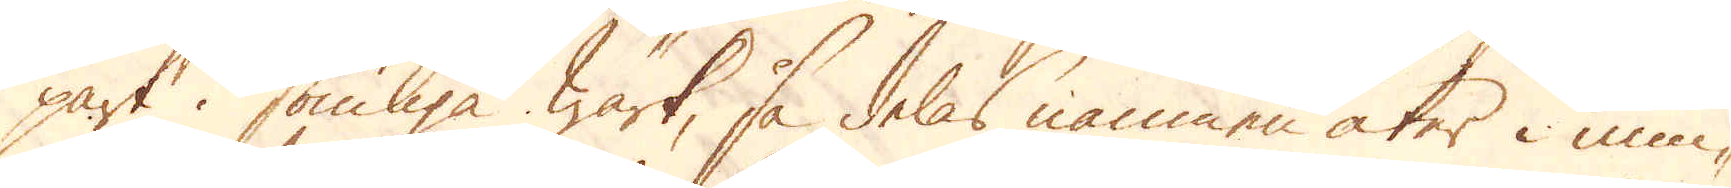part i somliga Wärk, så delas namnen åter i min-
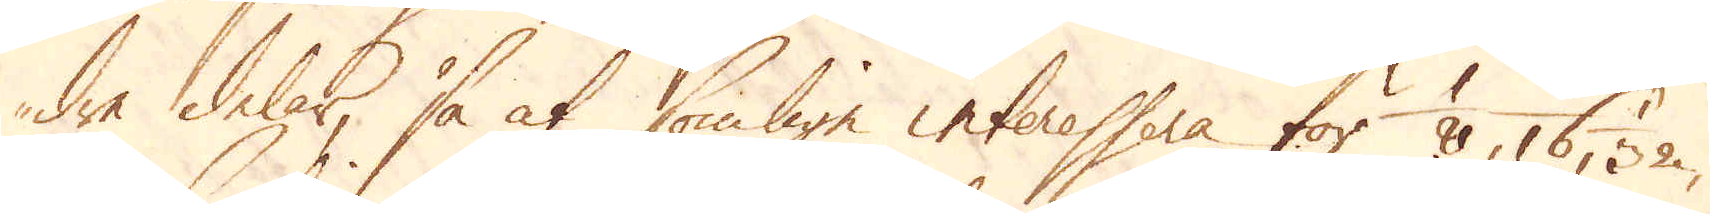dre delar, så at somlige interessera för 1/8, 16 32,
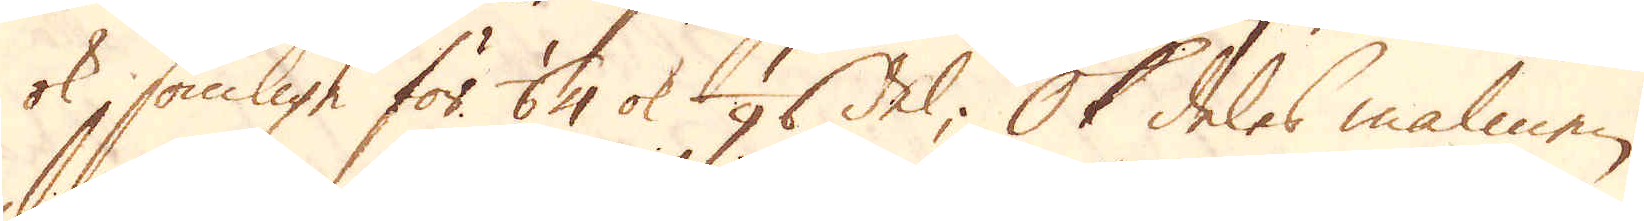ok somlige för 1/64 ok 1/96 del; Ok deles malmen
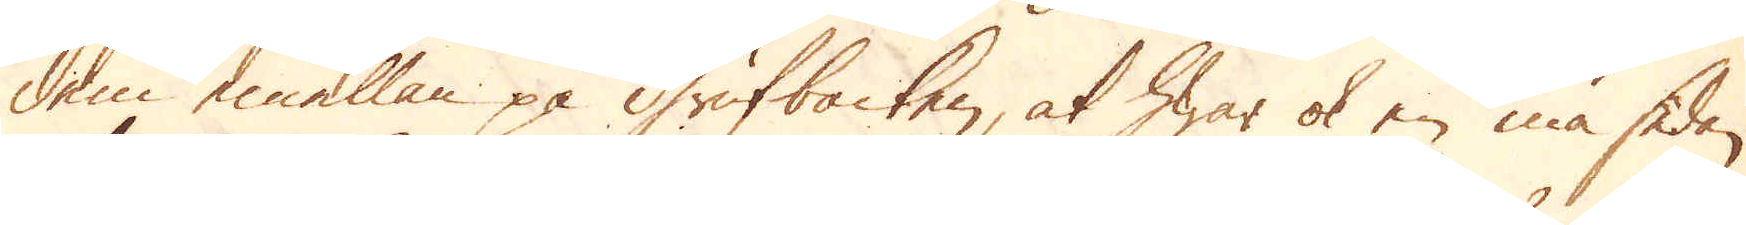dem emellan på Grufbacken, at hwar ok en må sedan
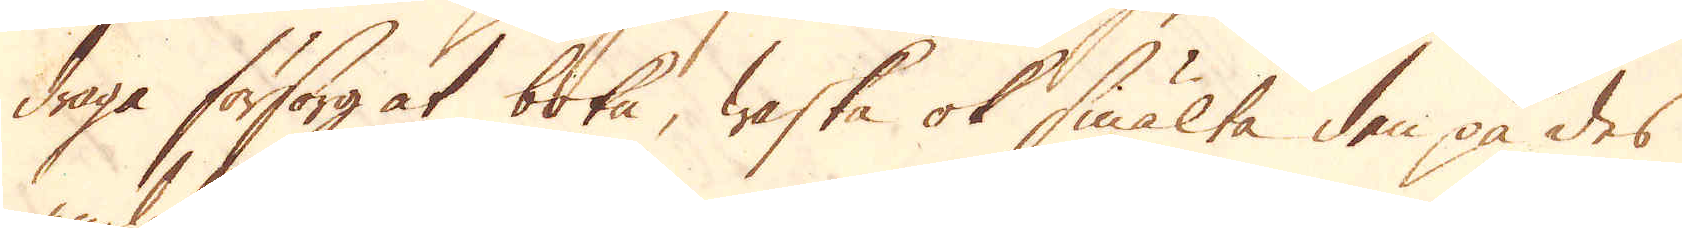draga försorg at boka, waska ok smälta den på des
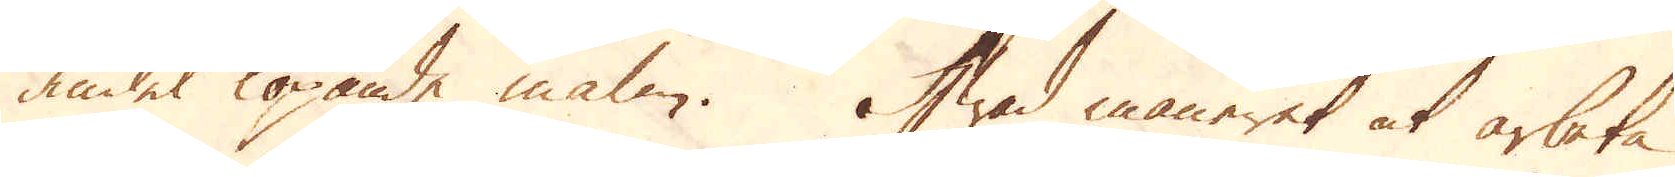andel löpande malm. Hwad maneret at arbeta
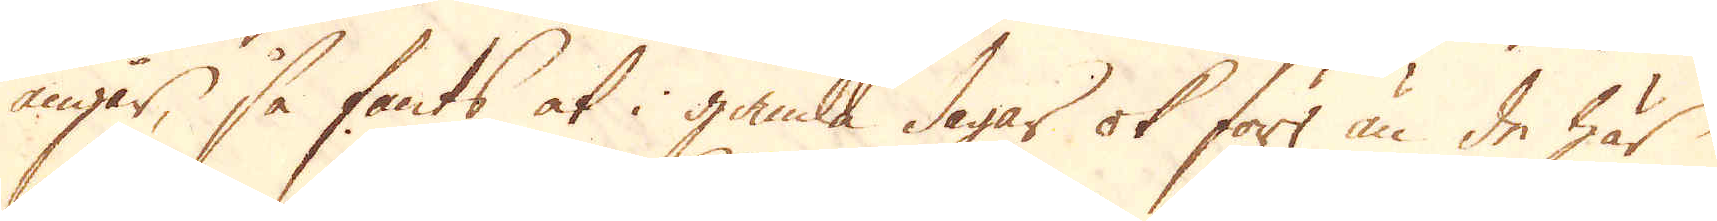angår, så fants at i gamla dagar ok förr än de här
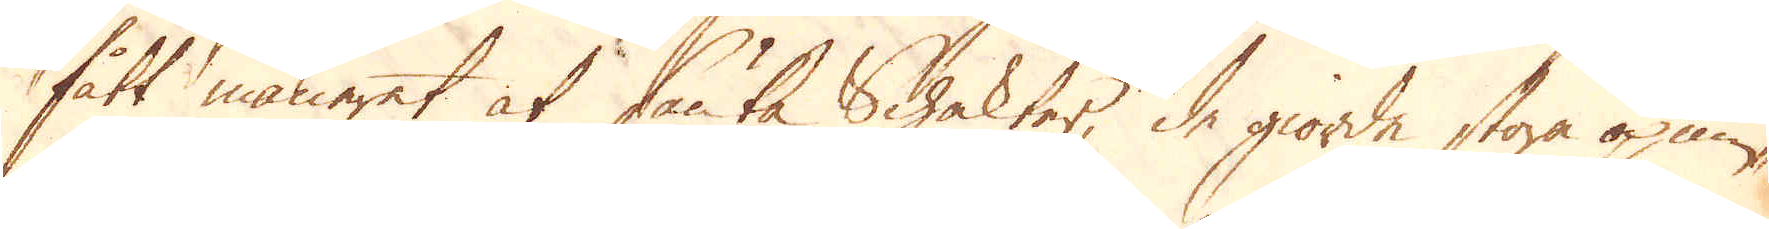fått maneret at sänka Schakter de giorde stora öpnin-
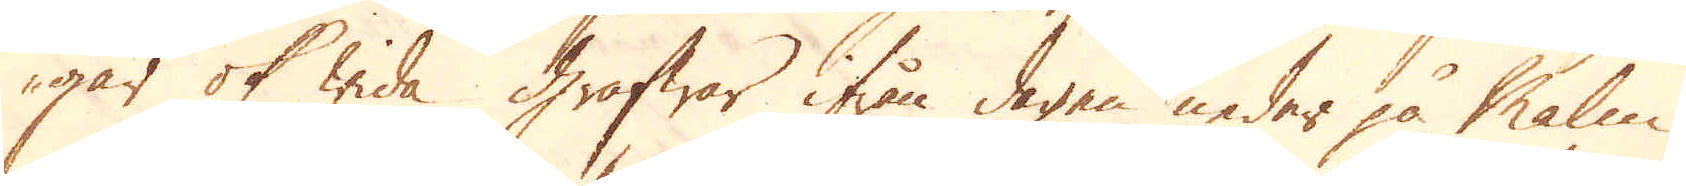gar ok wida grafwar ifrån dagen neder på Malm-
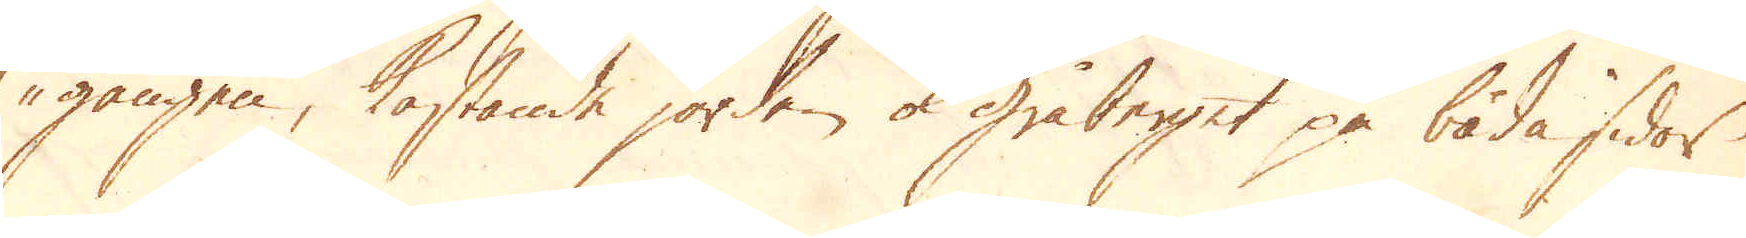gången, kastande jorden ok gråberget på båda sidor
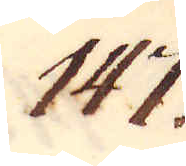147.
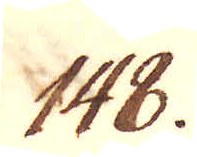148.
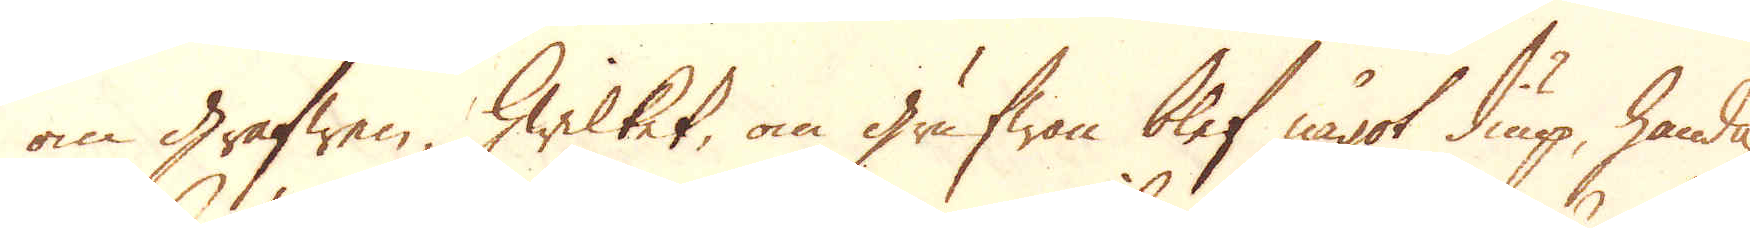om Grafwen, hwilket, om grufwan blef något diup, handa-
